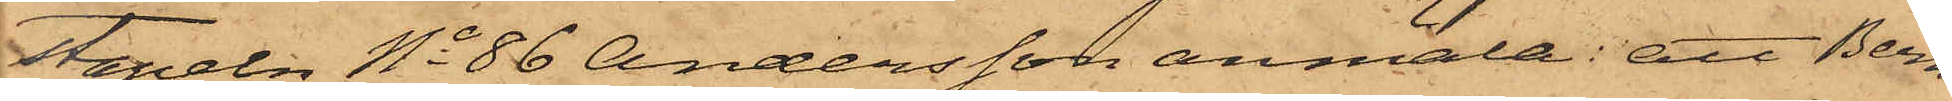stapeln No 86 Andersson anmäla: att Bern¬
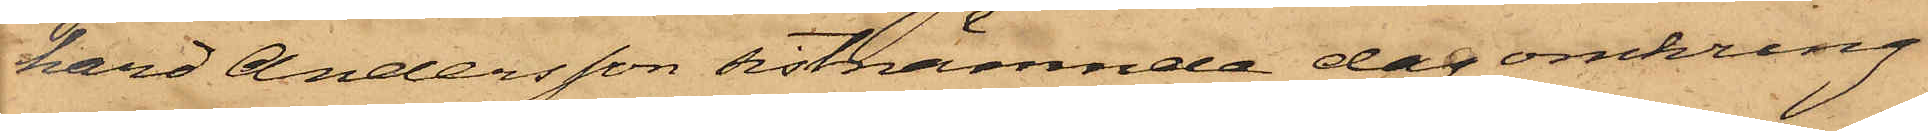hard Andersson sistnämnde dag omkring
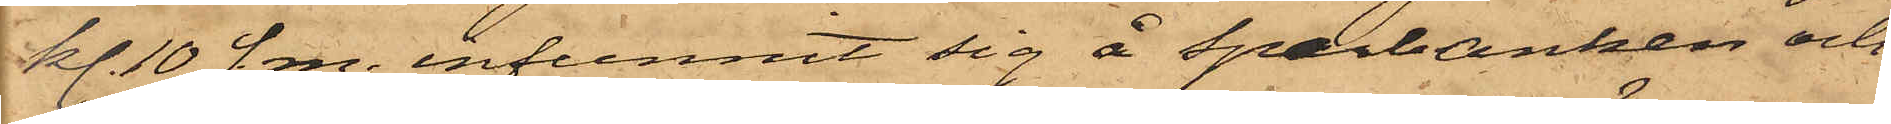kl. 10 f.m. infunnit sig å Sparbanken och
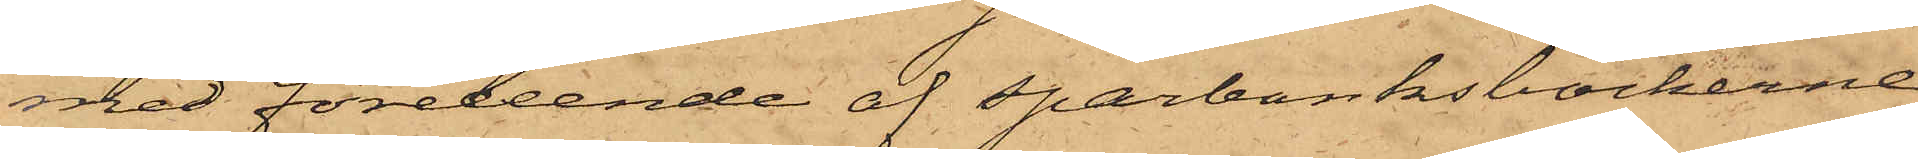med företeende af sparbanksböckerne
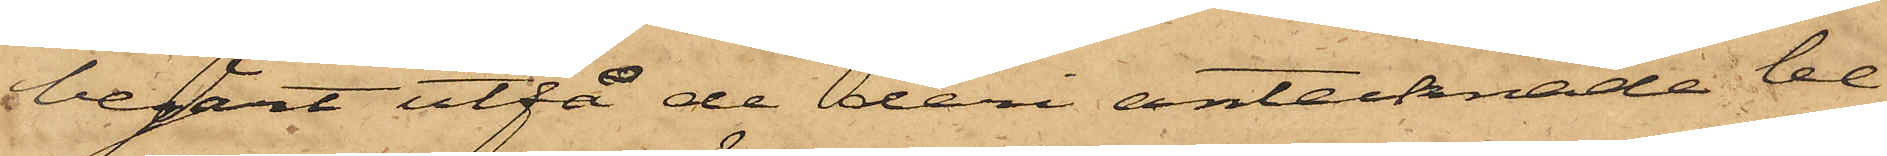begärt utfå de der antecknade be¬
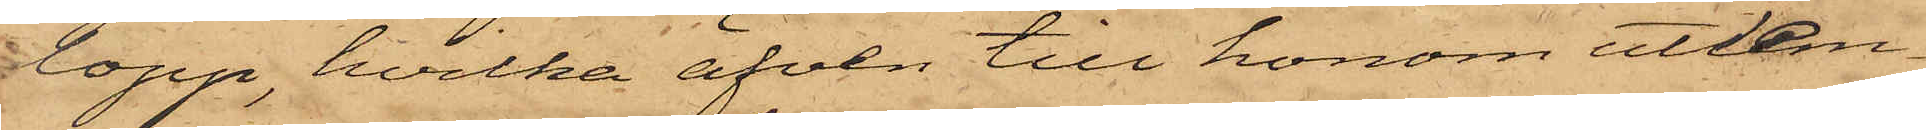lopp, hvilka äfven till honom utlem¬
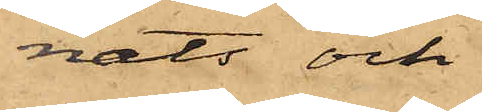nats och
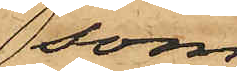som
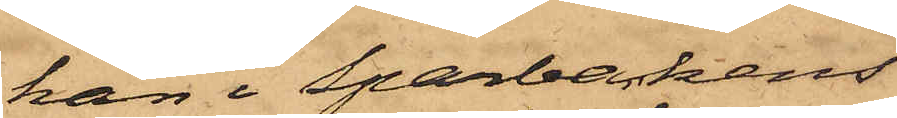han i Sparbankens
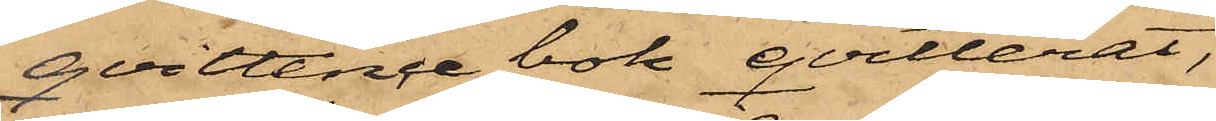qvittence bok qvitterat,
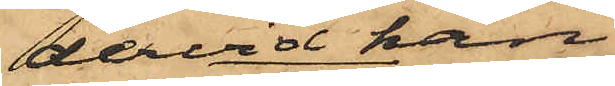dervid han
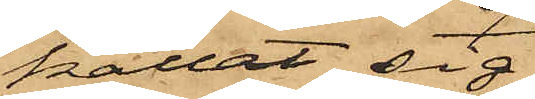kallat sig
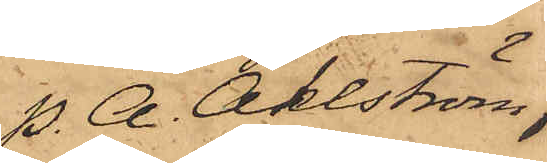P. A. Åhlström,
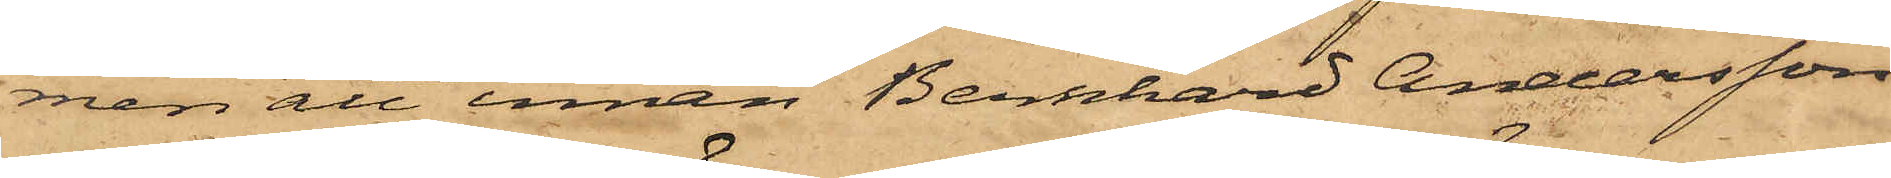men att innan Bernhard Andersson
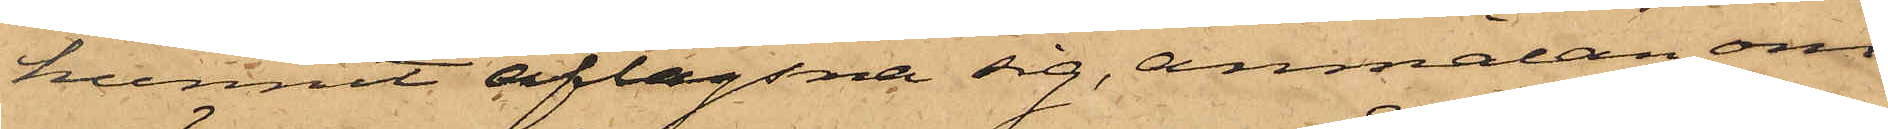hunnit aflägsna sig, anmälan om
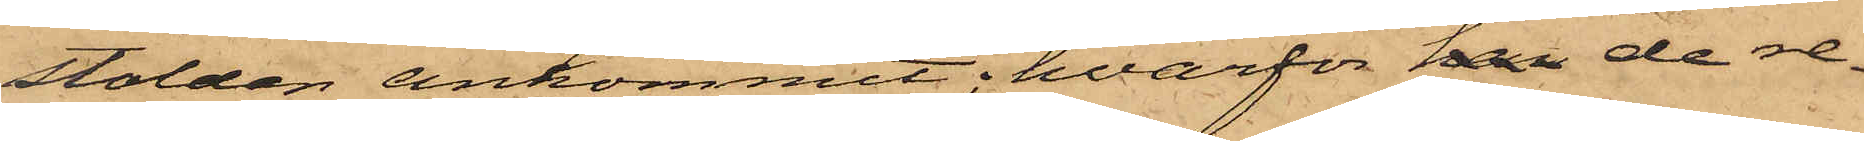stölden ankommit; hvarför han de re¬
